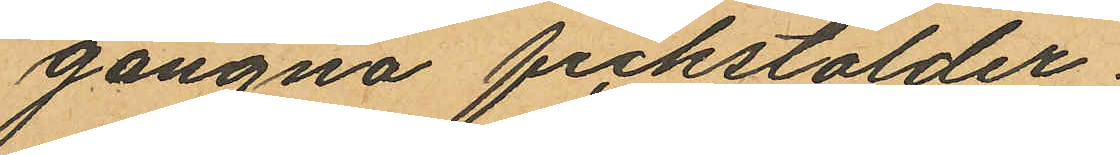gångna fickstölder.
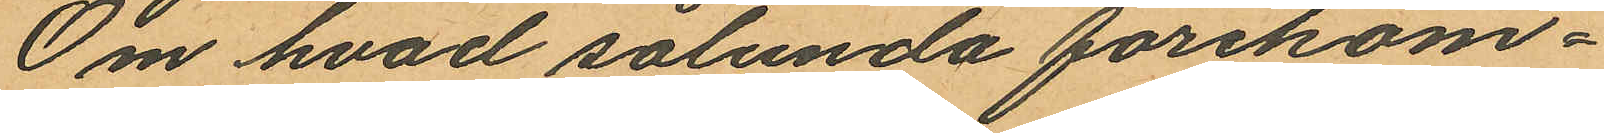Om hvad sålunda förekom¬
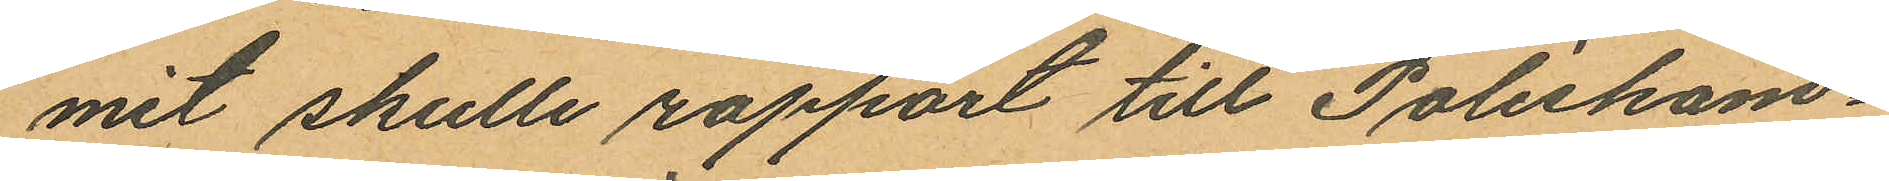mit skulle rapport till Poliskam¬
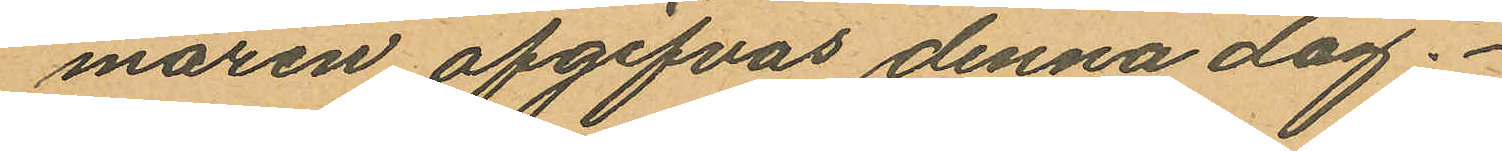maren afgifvas denna dag.
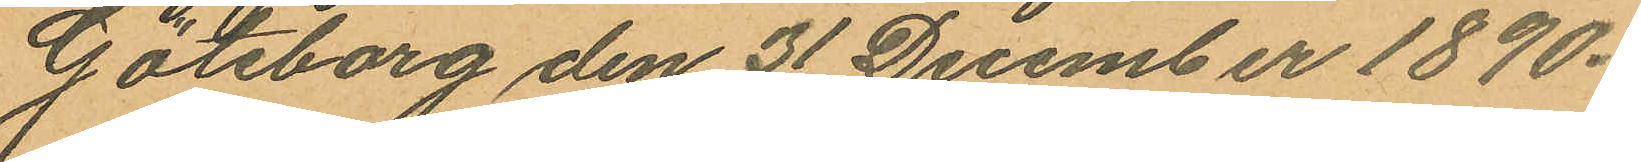Göteborg den 31 December 1890.
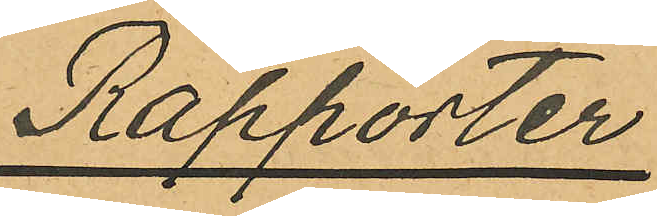Rapporter
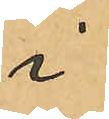i
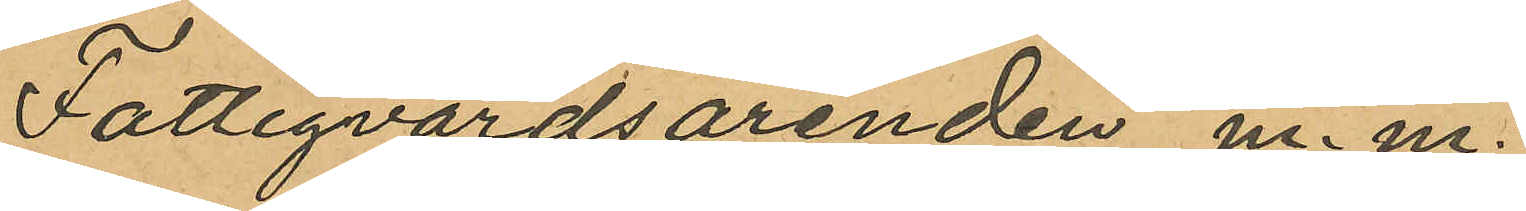Fattigvårdsärenden m.m.
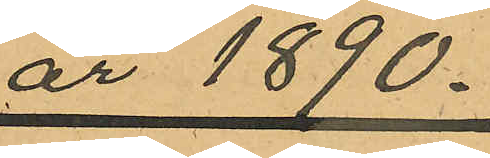år 1890.
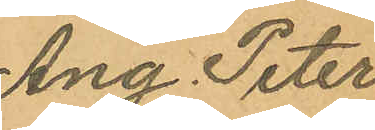Ang. Peter
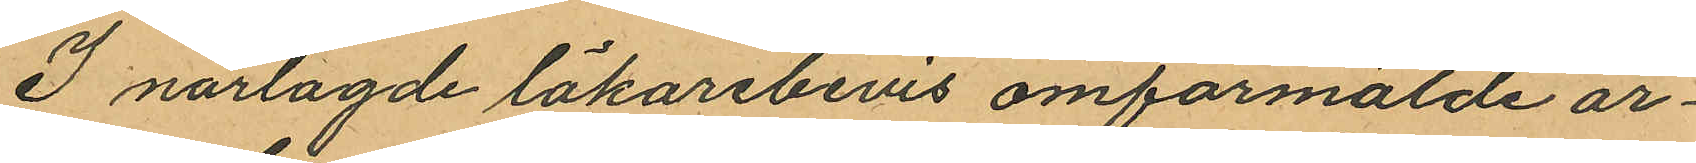I närlagde läkarebevis omförmälde ar¬
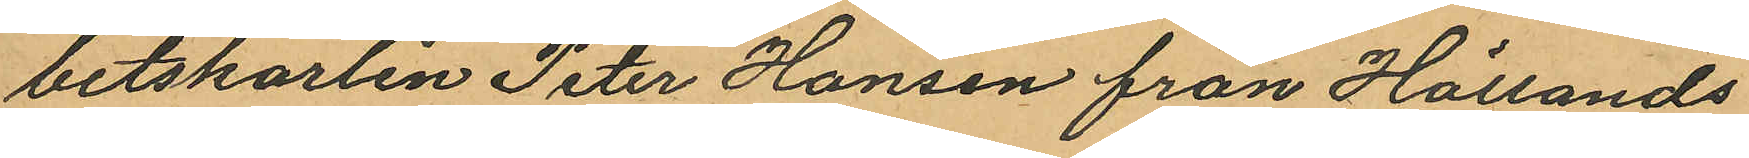betskarlen Peter Hansen från Hållands
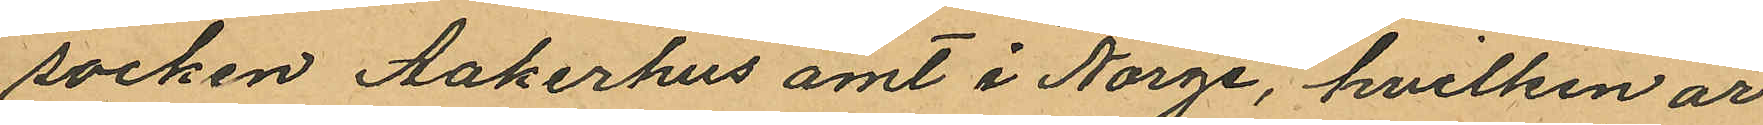socken Aakerhus amt i Norge, hvilken är
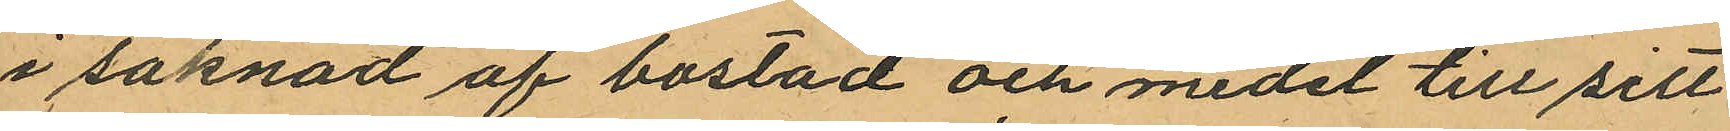i saknad af bostad och medel till sitt
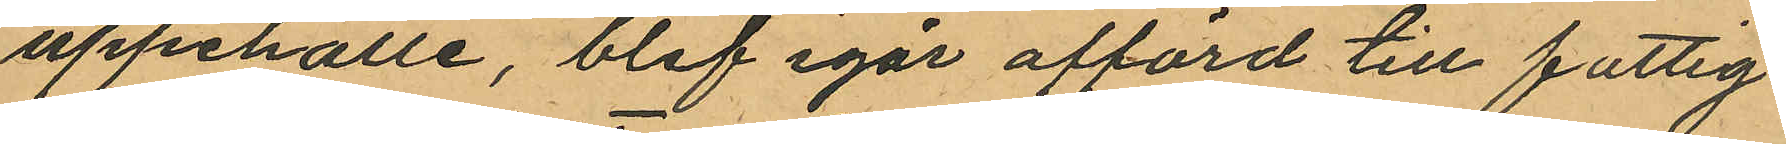uppehälle, blef igår afförd till fattig¬
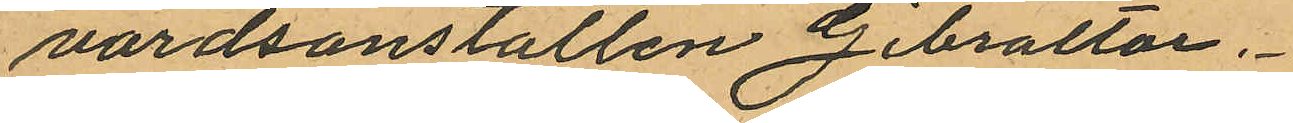vårdsanstalten Gibraltar.
